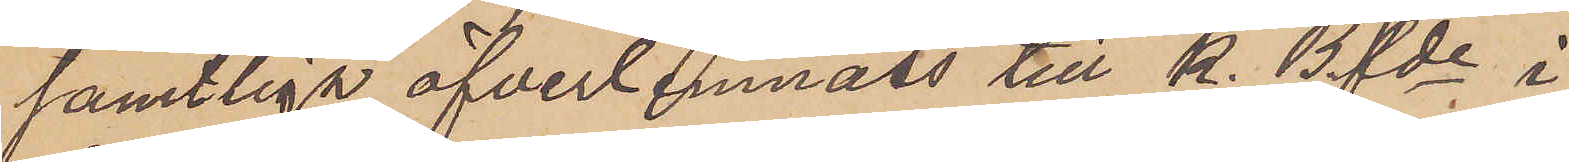samtliga öfverlemnats till K. Bfde i
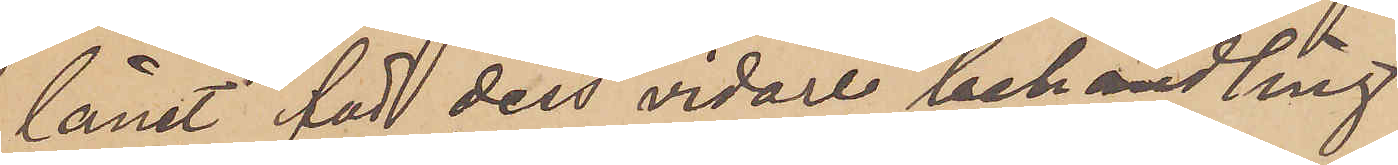länet för dess vidare behandling.
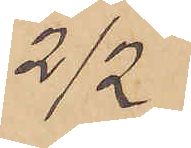2/2
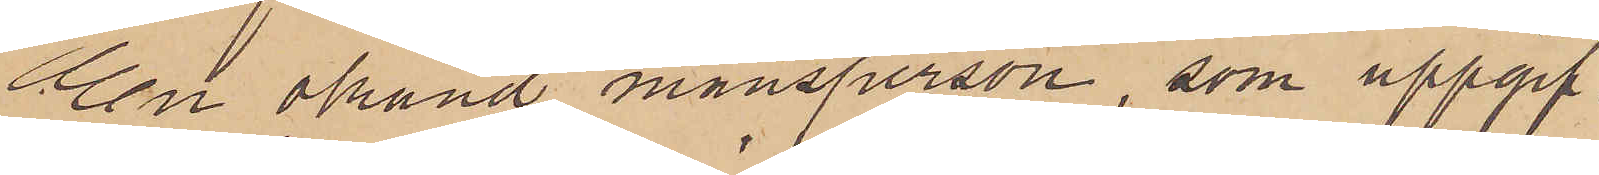En okänd mansperson, som uppgif¬
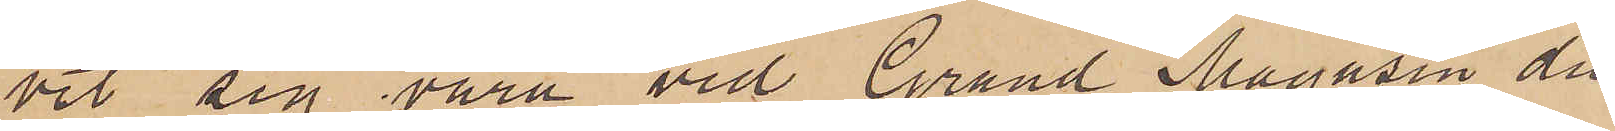vit sig vara vid Grand Magasin du
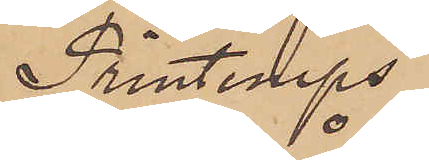Printemps
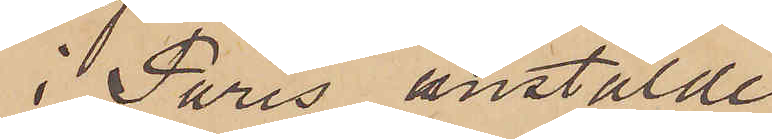i Paris anstälde
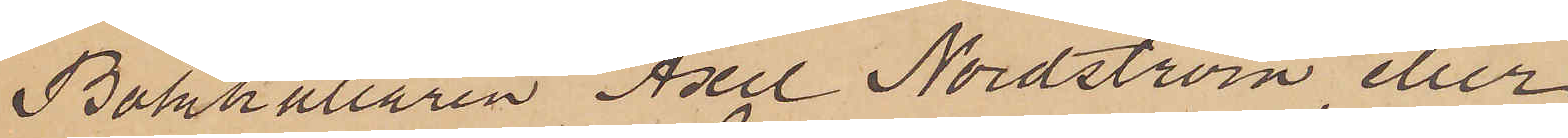Bokhållaren Axel Nordström eller
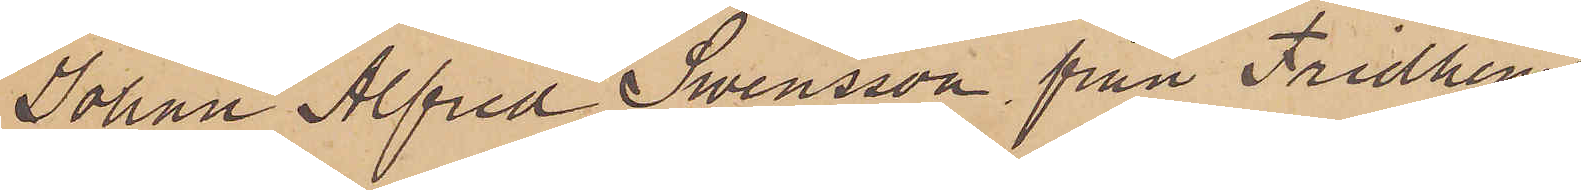Johan Alfred Swensson, från Fridhem
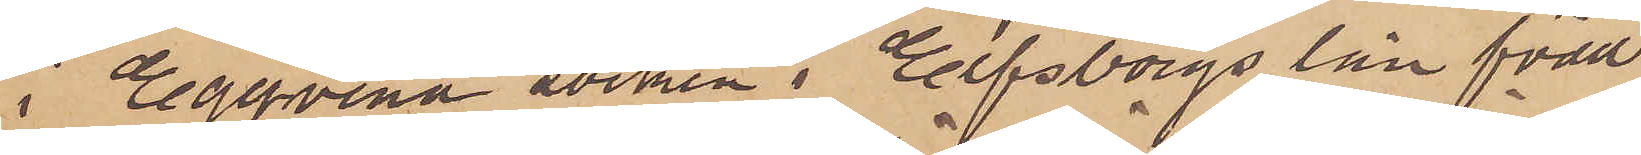i Eggvena socken i Elfsborgs län född
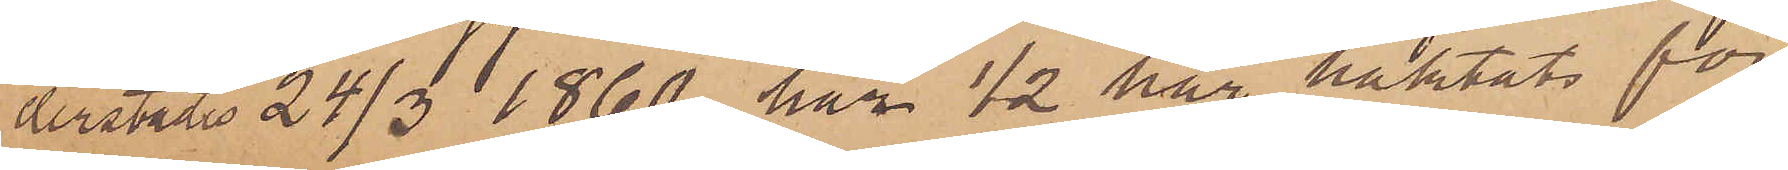derstädes 24/3 1860, har 1/2 här häktats för
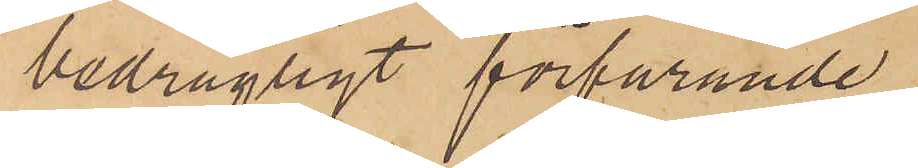bedrägligt förfarande.
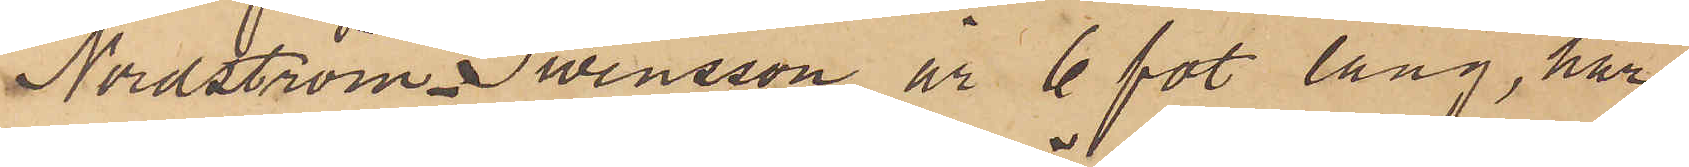Nordström Swensson år 6 fot lång, har
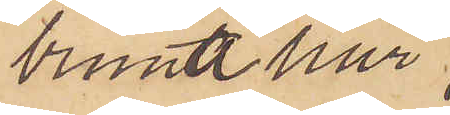bruna hår
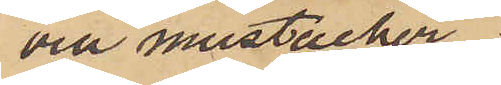oeh mustacher
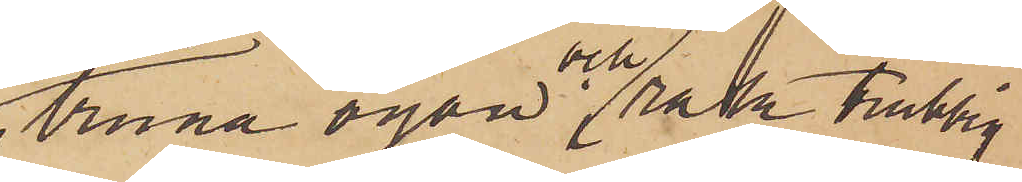bruna ögon och rak trubbig
